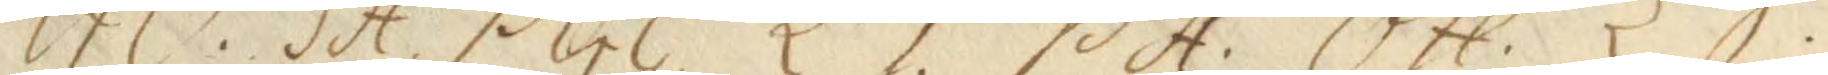GO. SA. PGG. LT. PA. OH. LS.
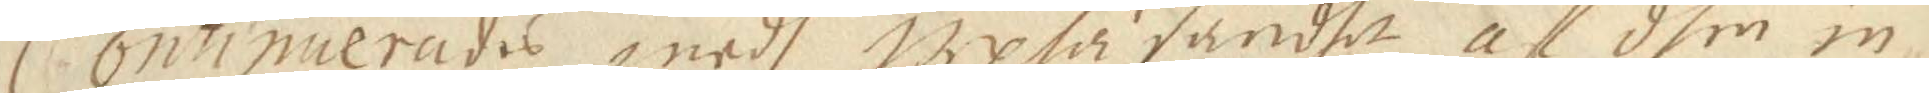Continuerades medh upläsandet af dhen in
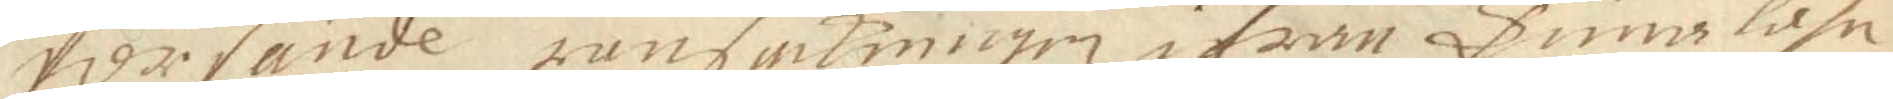försände ransakningen ifrån Tuna lähn,
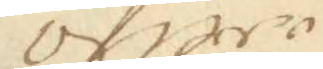öfwer
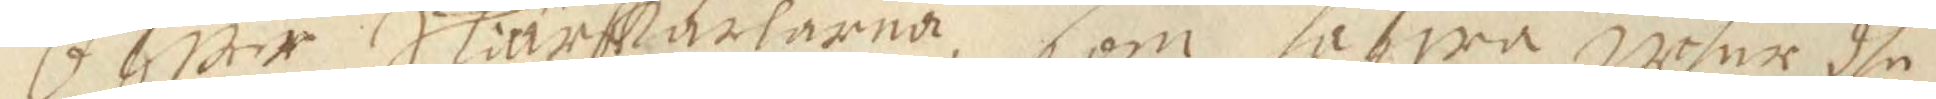öfwer Skiärkarlarna, som hafwa uthur dhe
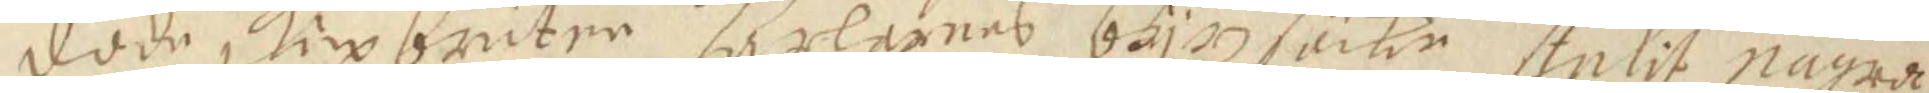döde skiepbrutne karlarnas bäjszsäkr stulit några
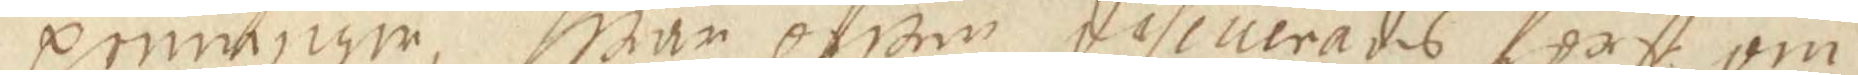penninger, hwar öfwer discuterades först om
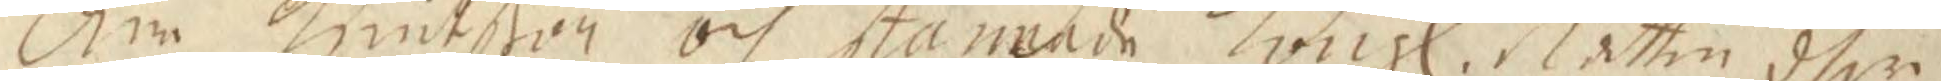Åre knutßon och stannade Kongl. Rätten dher
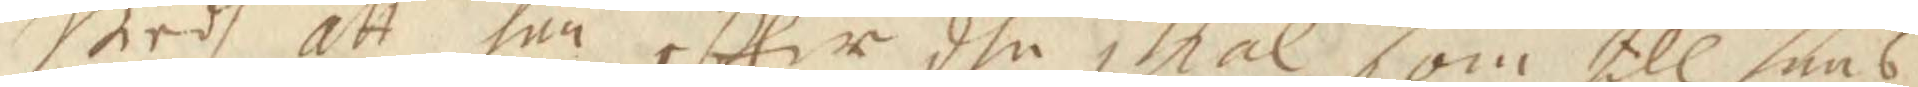wedh att han efter dhe skiäl som till hans
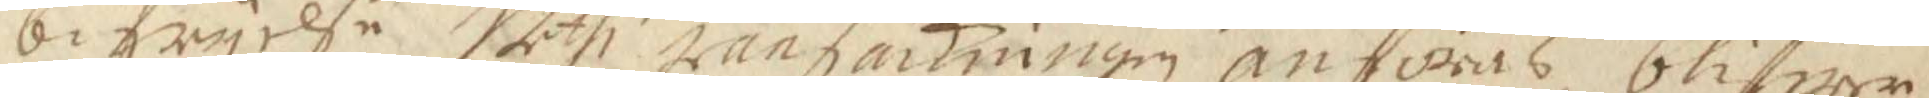befryelse uthi ransakningen anföras, blifwer
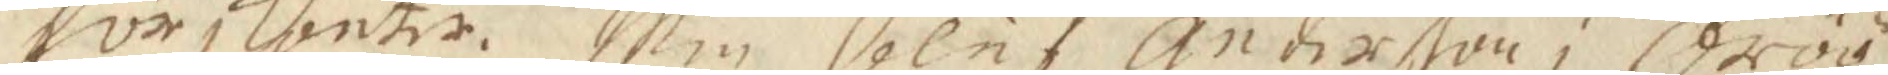förskonte. Men Oluf anderßon i Öröö,
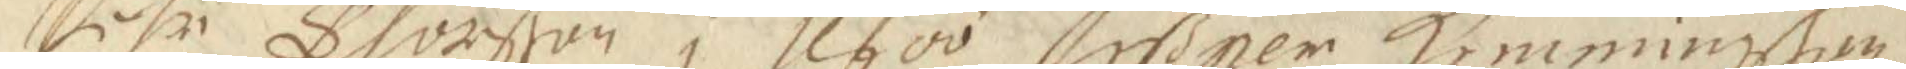Pähr Thorßon i Uföö, Jeßper Hemmingßon
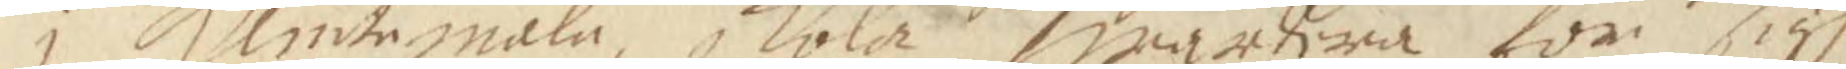i klintemåla skola wardera för sigh
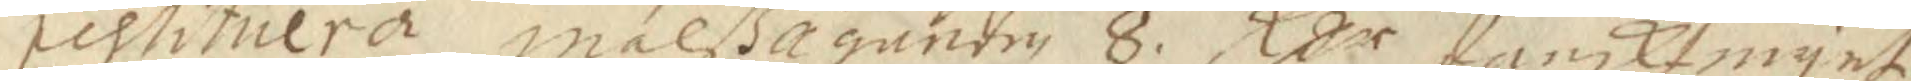restituera målßäganden 8. Rßr dansktmynt,
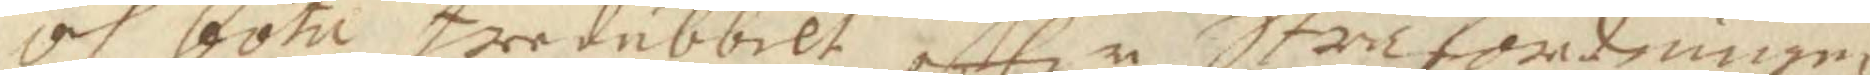och böta tridubbelt efter Strafordringen,
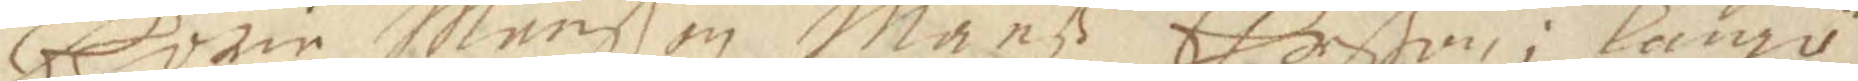Göran Månßon, Månß Ehrßon i långö,
